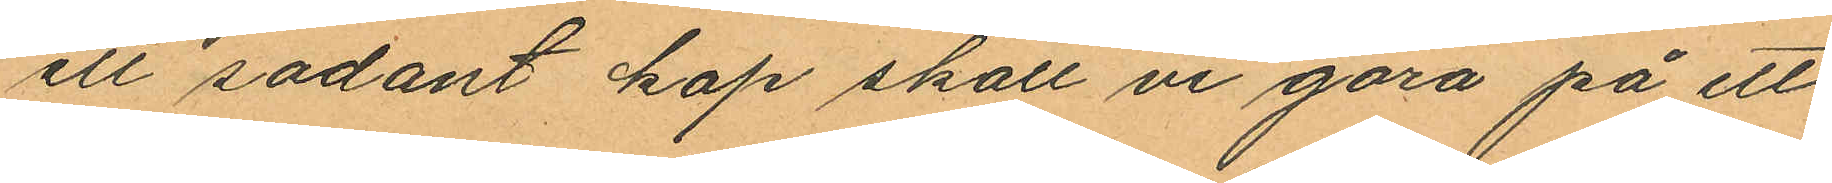ett sådant kap skall vi göra på ett
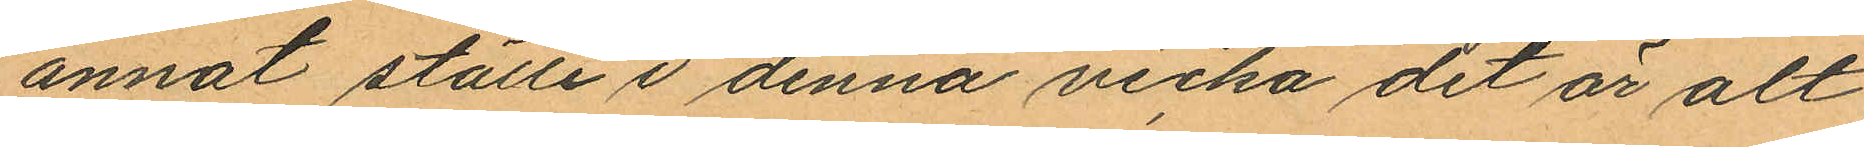annat ställe i denna vecka det är att
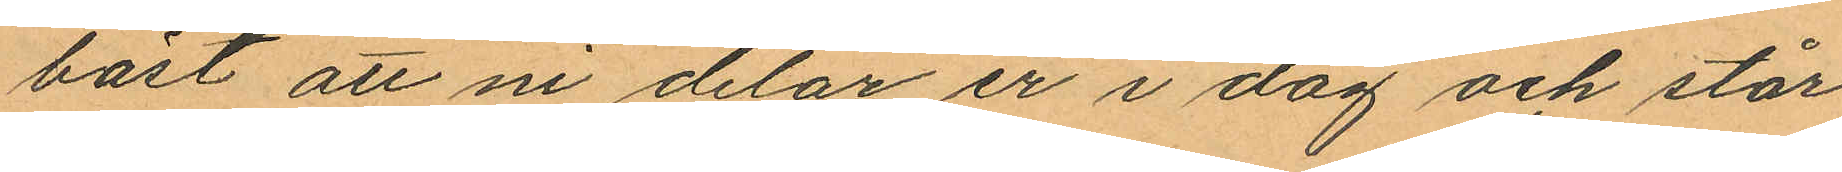bäst att ni delar er i dag och står
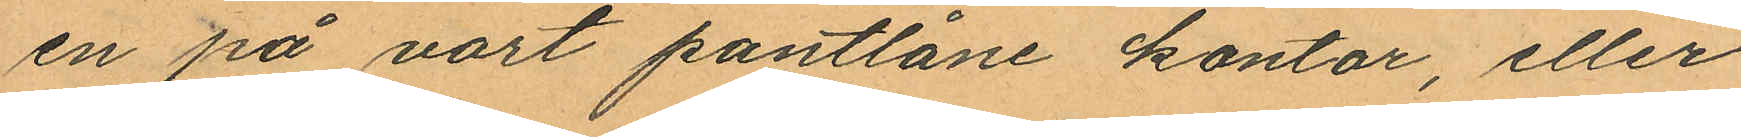en på vart pantlåne kontor, eller
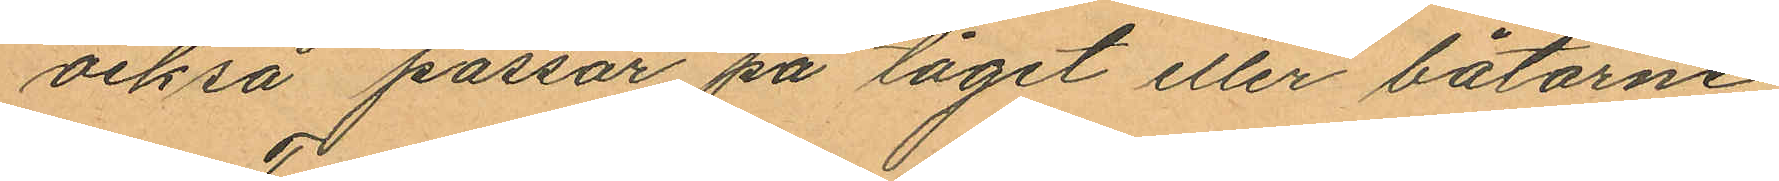också passar på tåget eller båtarne
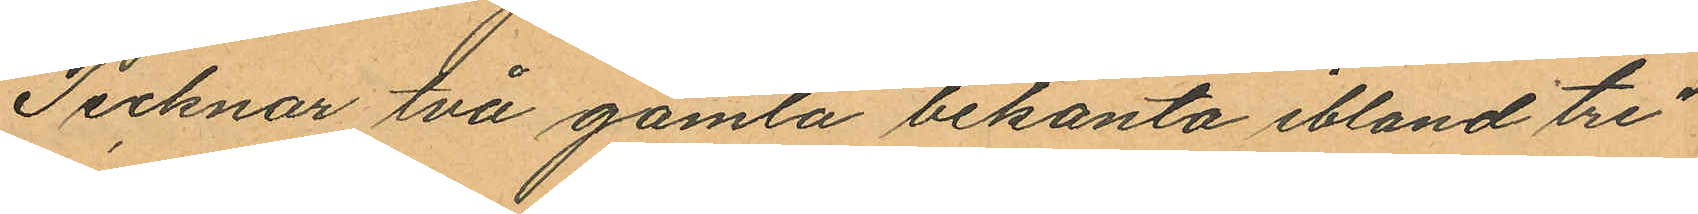Tecknar två gamla bekanta ibland tre
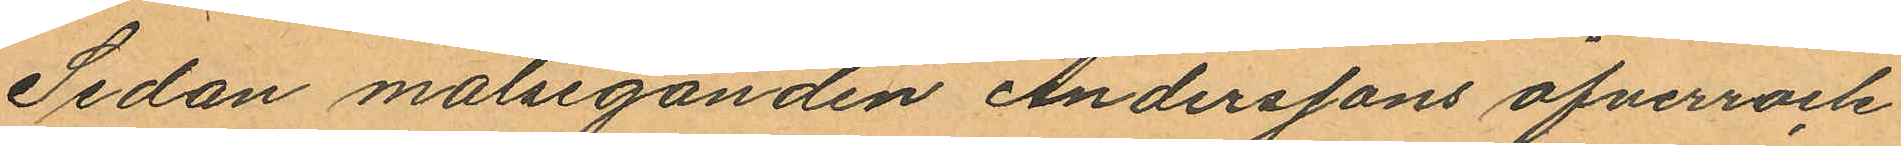Sedan målseganden Anderssons öfverrock
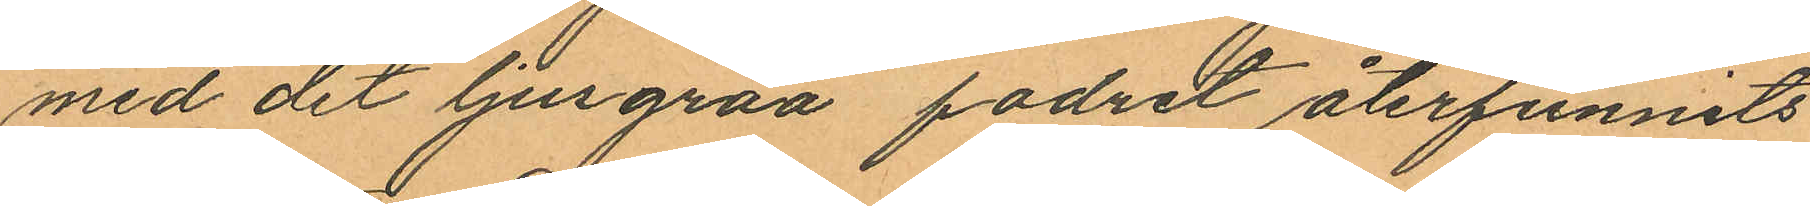med det ljusgråa fodret återfunnits
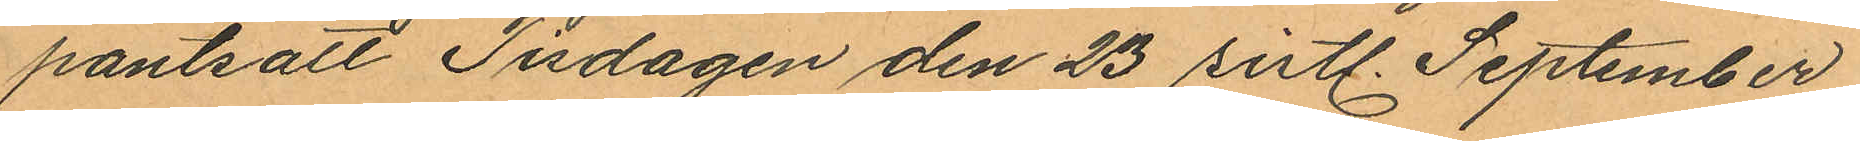pantsatt Tisdagen den 23 sistl. September
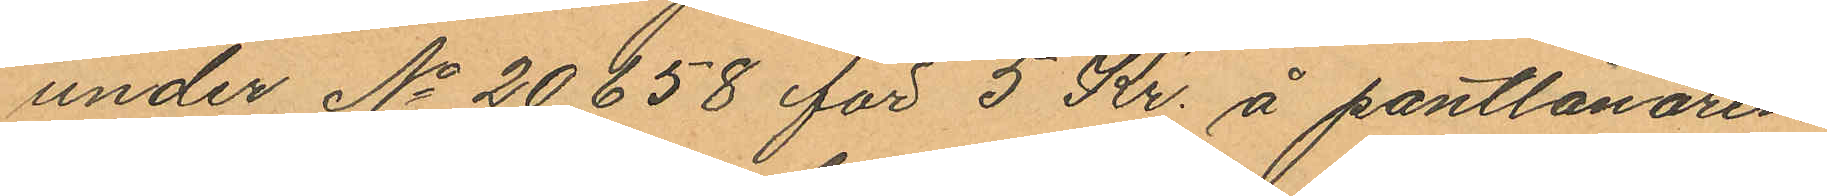under No 20658 för 5 Kr. å pantlånaren
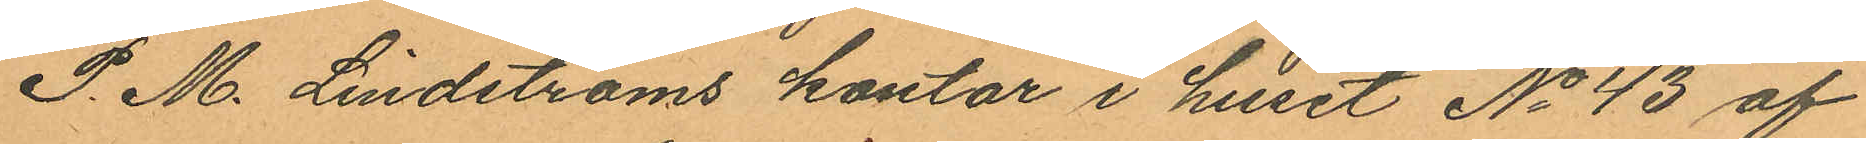P. M. Lindströms kontor i huset No 43 af
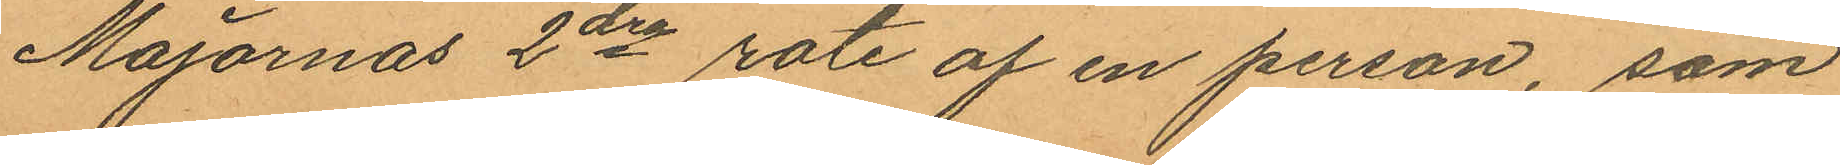Majornas 2dre rote af en person, som
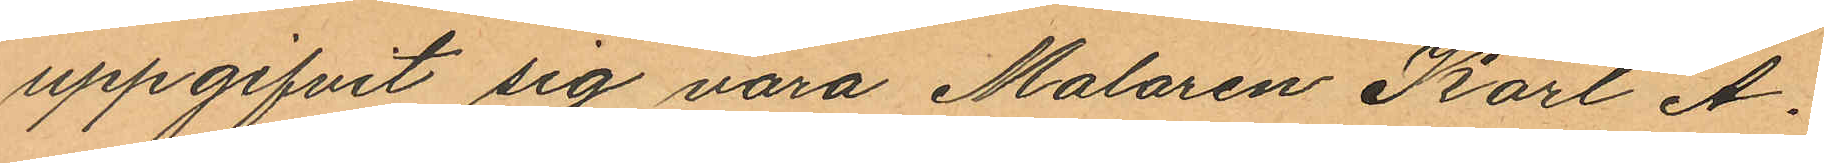uppgifvit sig vara Malaren Karl A.
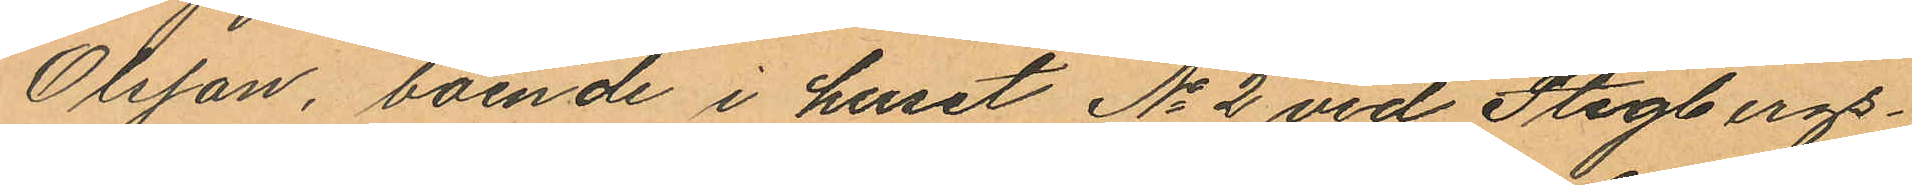Olsson, boende i huset No 2 vid Stigbergs¬
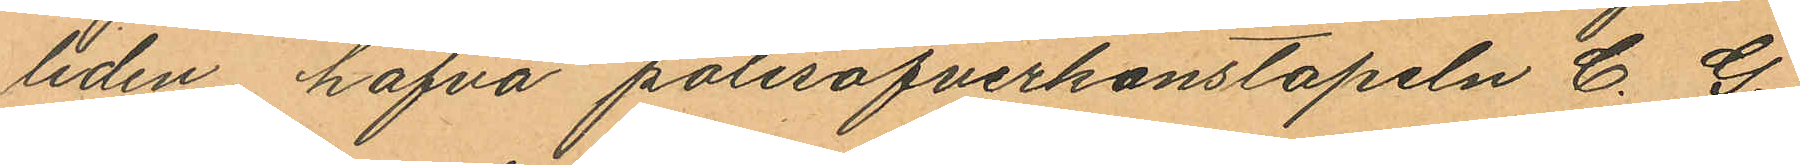liden hafva polisöfverkonstapeln C. G.
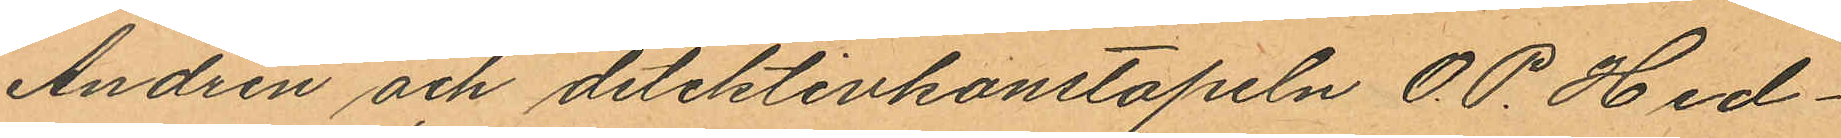Andrén och detektivkonstapeln O. P. Hed¬
